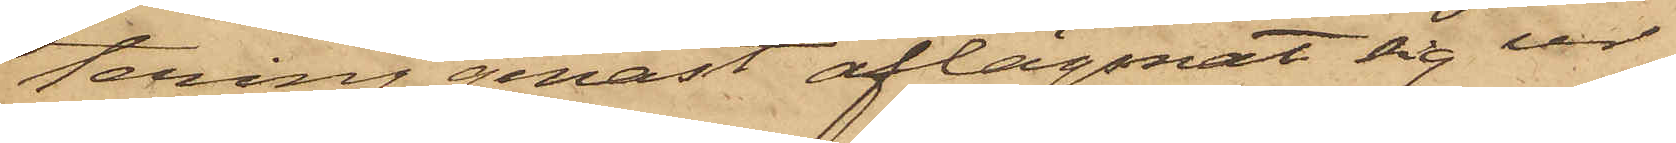tering genast aflägsnat sig ur
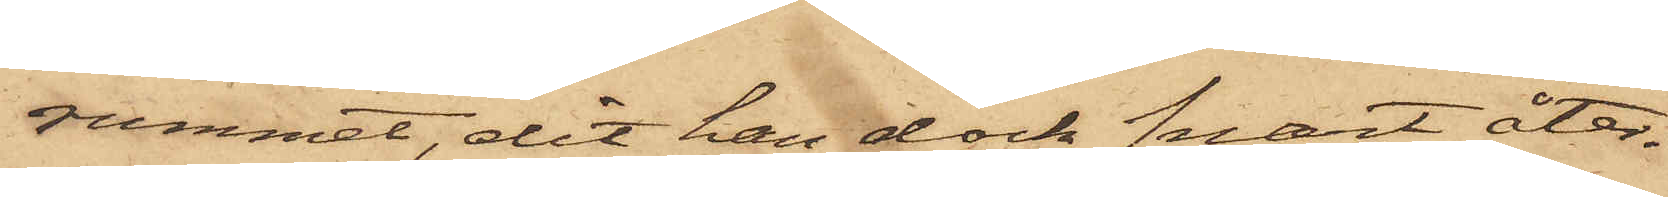rummet, dit han dock snart åter¬
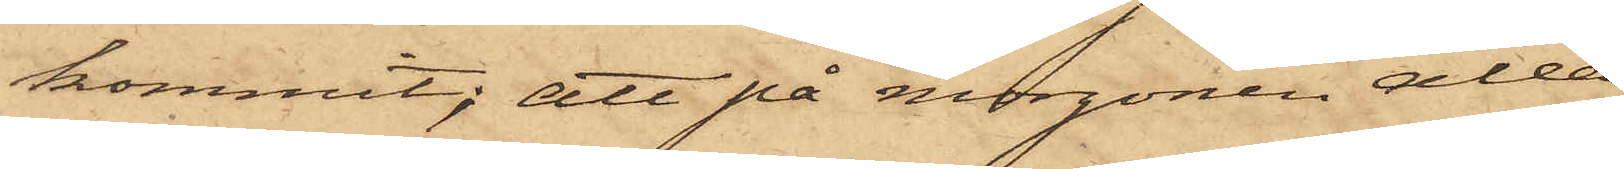kommit; att på morgonen alla,
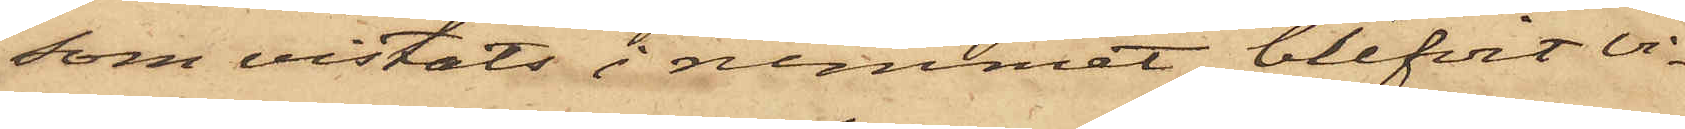som vistats i rummet, blifvit vi¬
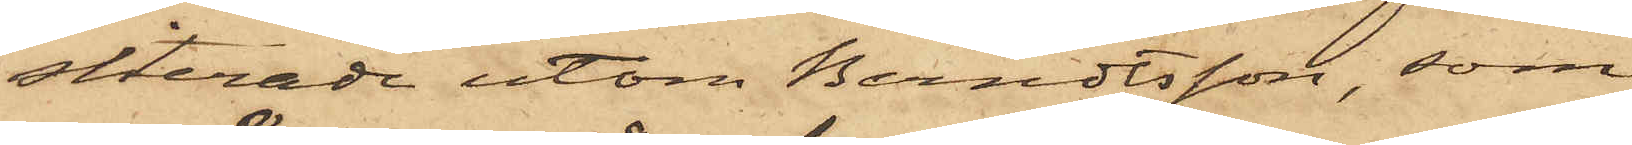siterade utom Berndtsson, som
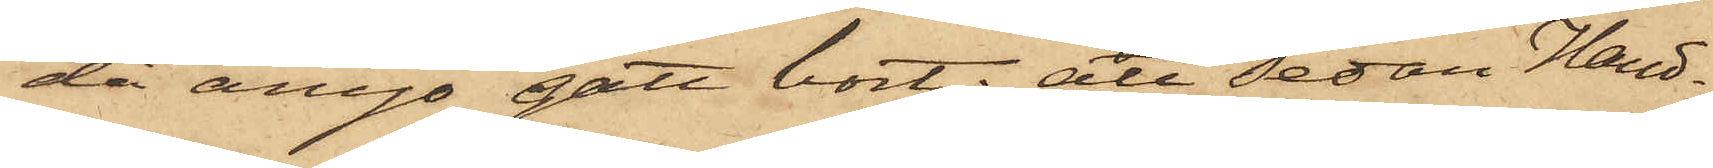då ånyo gått bort; att sedan Hand¬
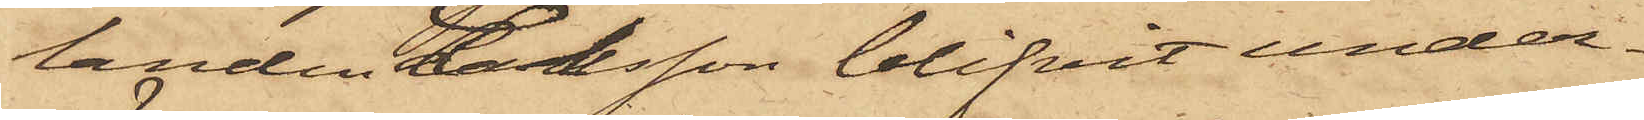landen Larsson blifvit under¬
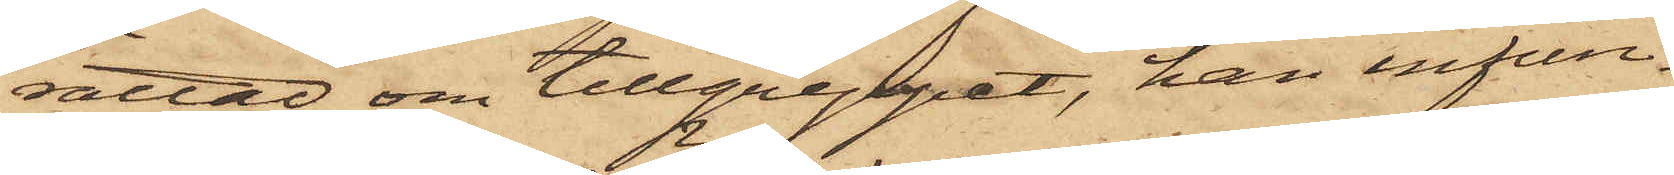rättad om tillgreppet, han infun¬
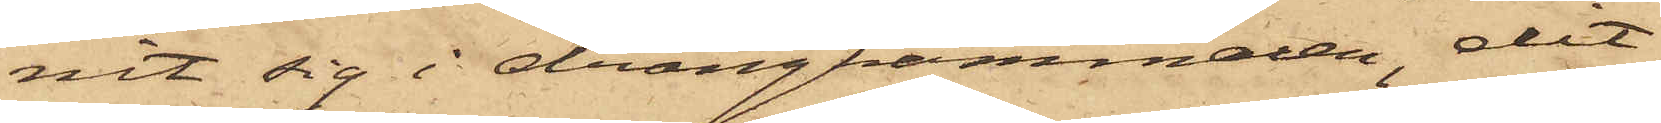nit sig i drängkammaren, dit
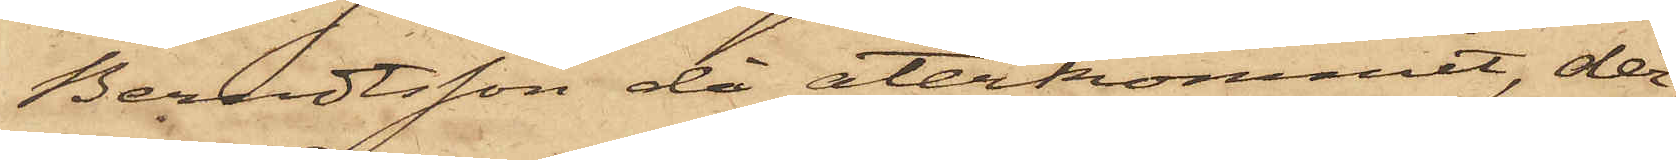Berndtsson då återkommit, der¬
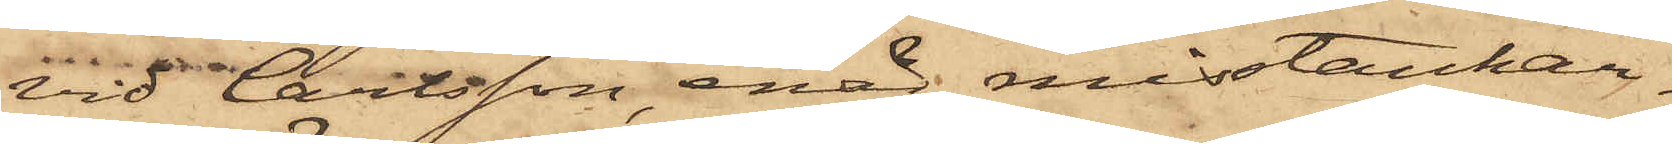vid Carlsson, enär misstankar¬
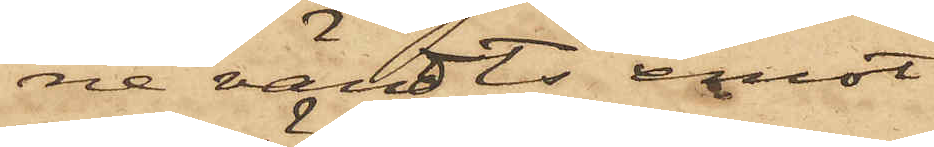ne vändts emot
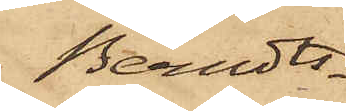Berndts¬
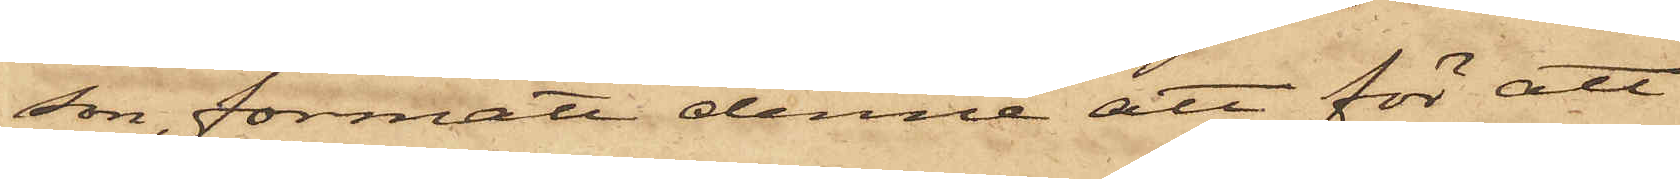son, förmått denne att för att
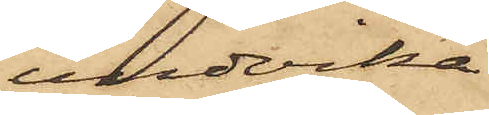undvika
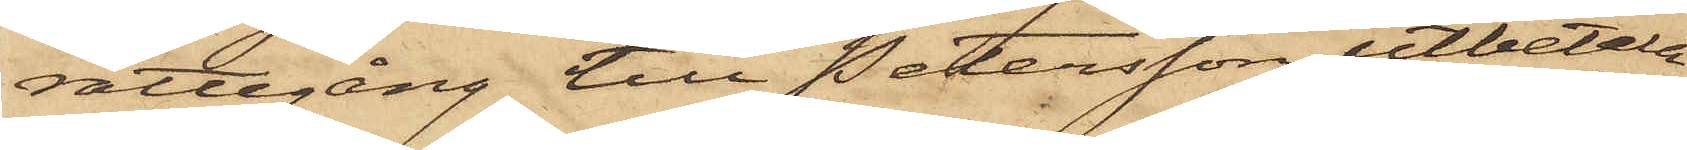rättegång till Petersson utbetala
